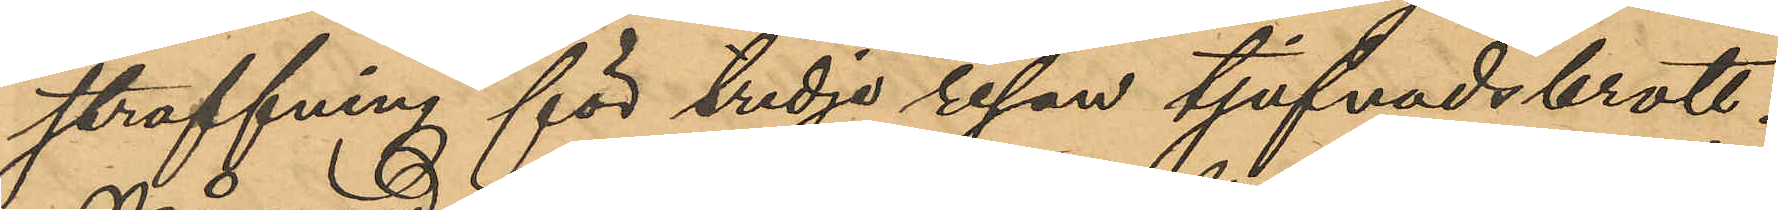straffning för tredje resan tjufnadsbrott.
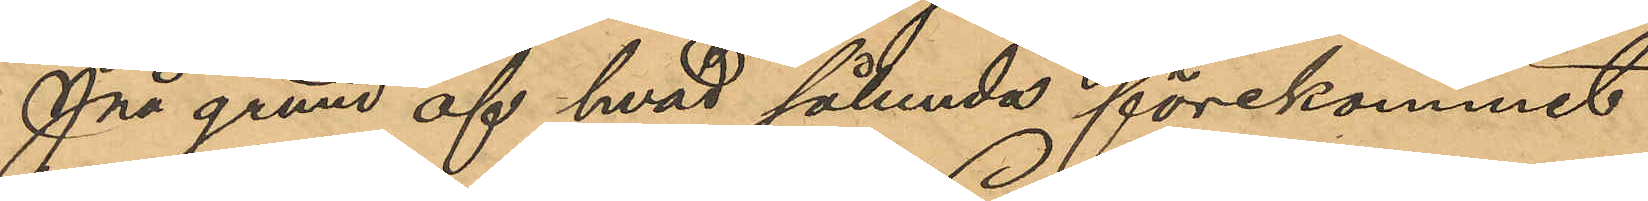På grund af hvad sålunda förekommit
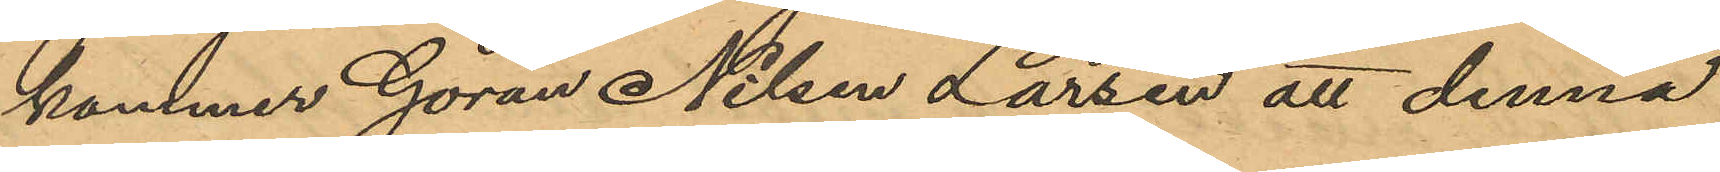kommer Göran Nilsen Larsen att denna
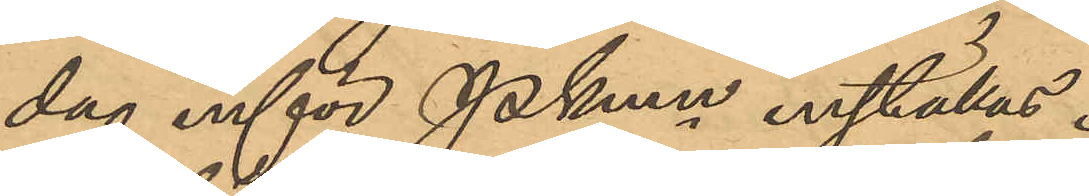dag inför Pkmn inställas.
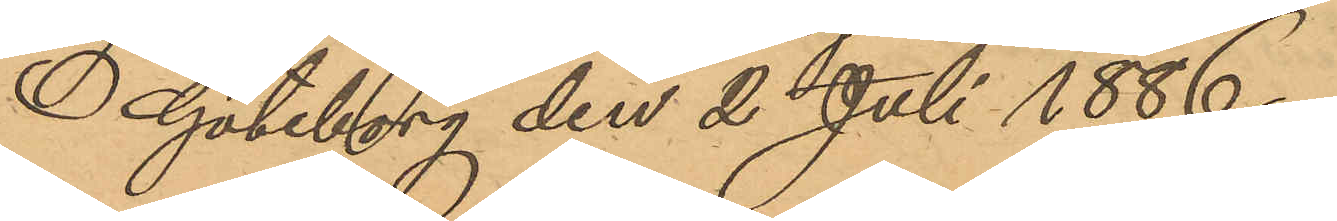Göteborg den 2 Juli 1886
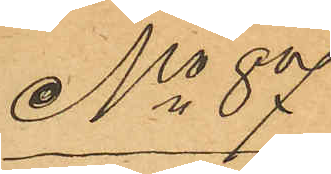No 87
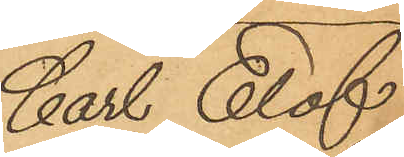Carl Elof
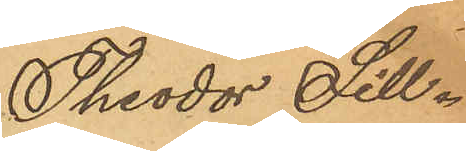Theodor Sill¬
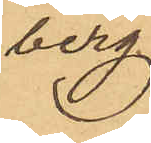berg
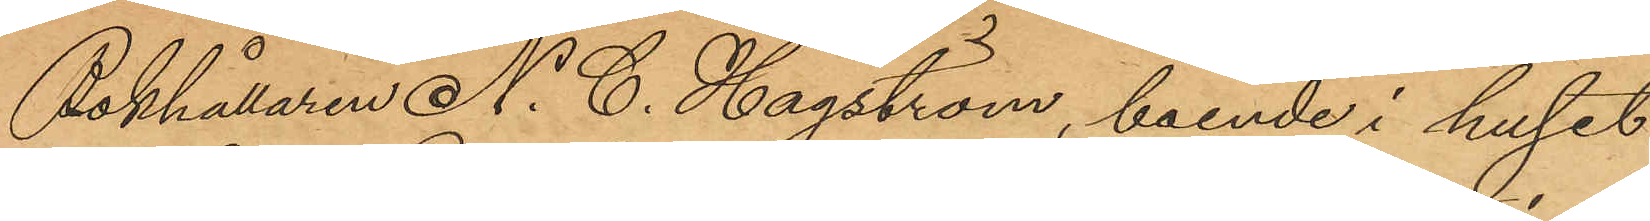Bokhållaren N. C. Hagström, boende i huset
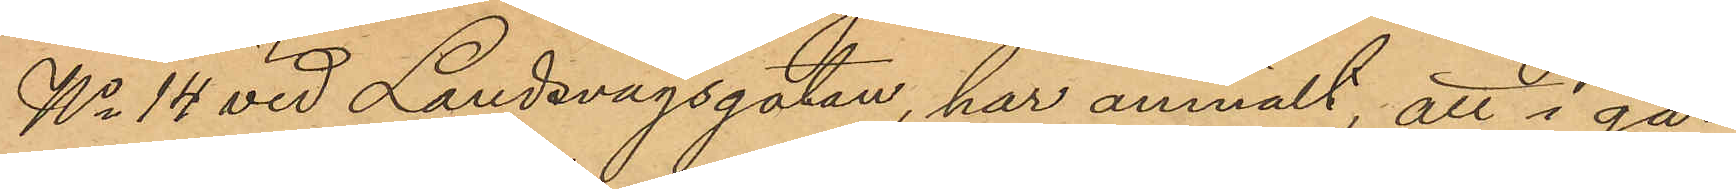No 14 vid Landsvägsgatan, har anmält att i går
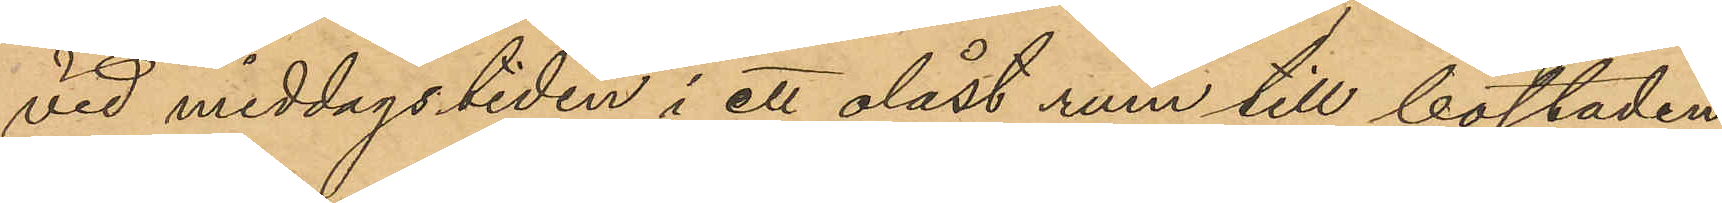vid middagstiden i ett olåst rum till bostaden
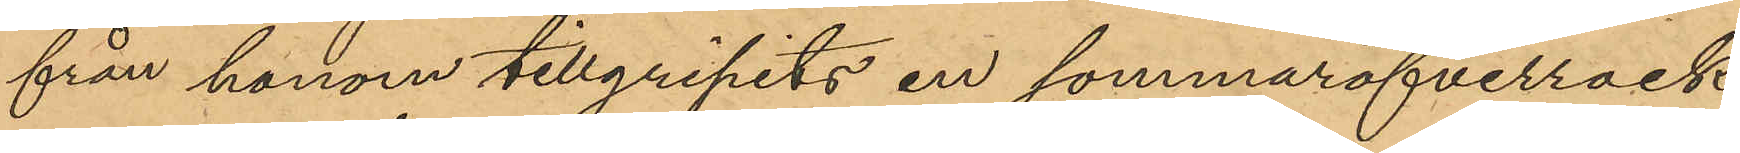från honom tillgripits en sommaröfverrock
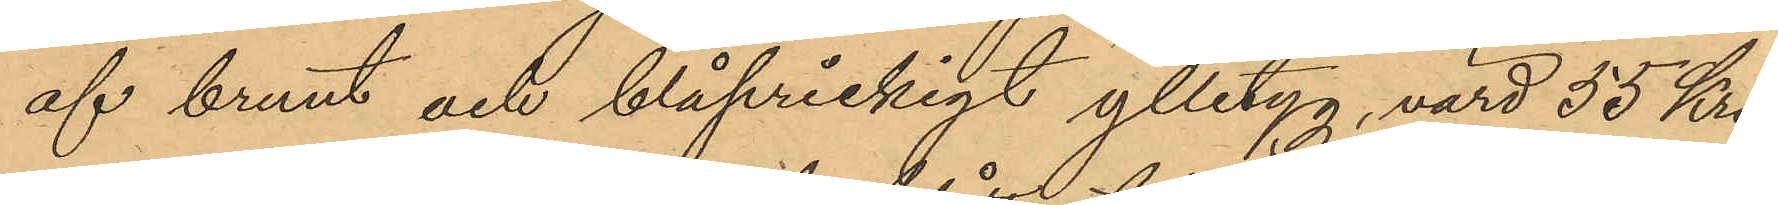af brunt och blåprickigt ylletyg, värd 55 Kro¬
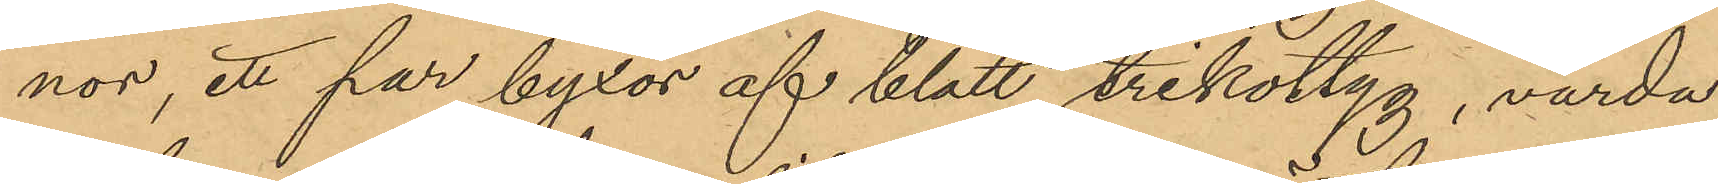nor, ett par byxor af blått trikottyg, värda
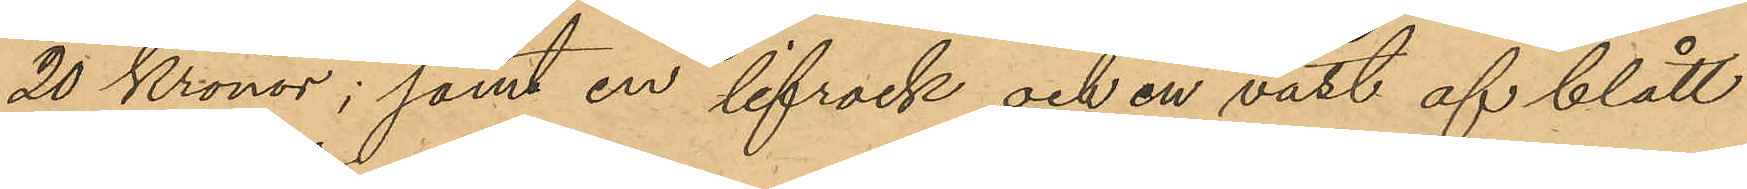20 Kronor; samt en lifrock och en väst af blått
